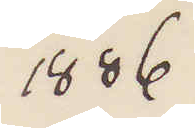1886
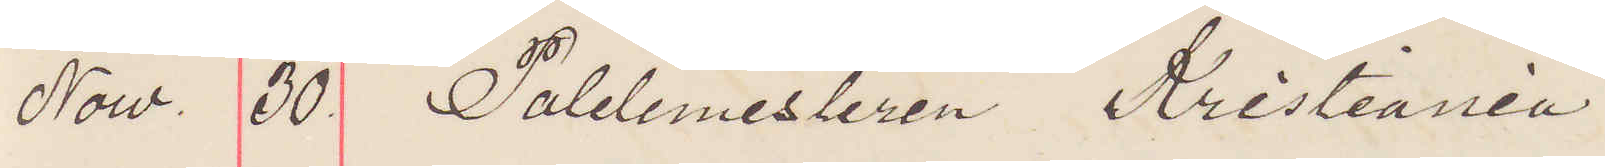Now. 30. Poletimesteren, Kristiania
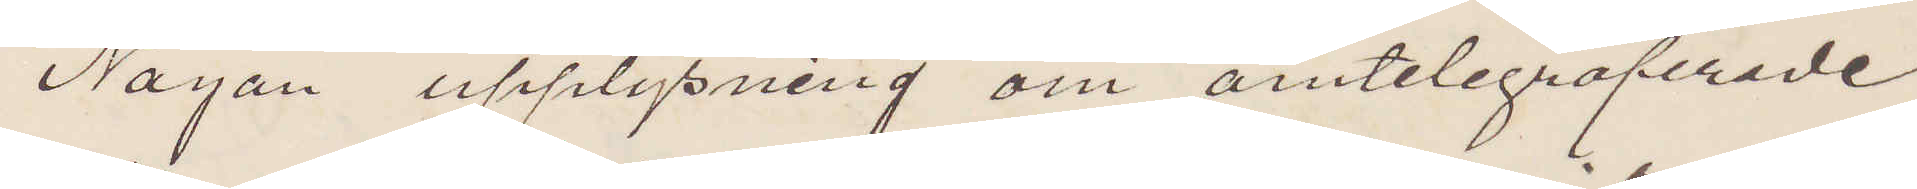Någon upplysning om omtelegraferade
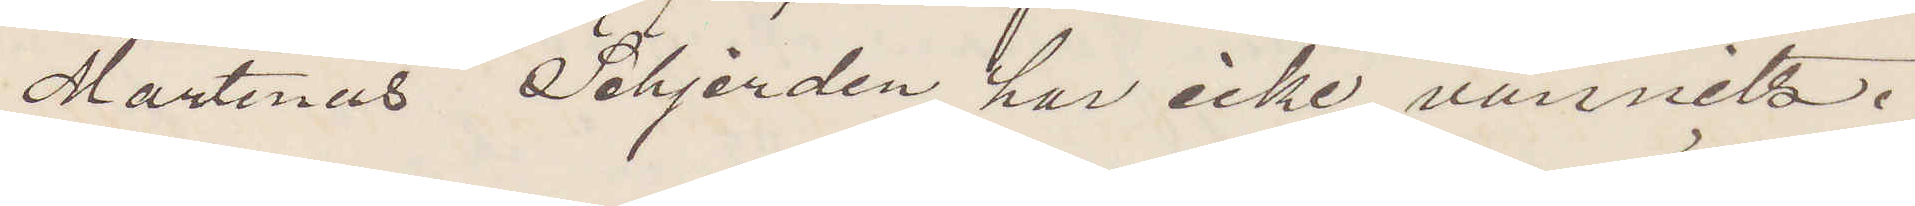Martinus Schjerden har icke vunnits.
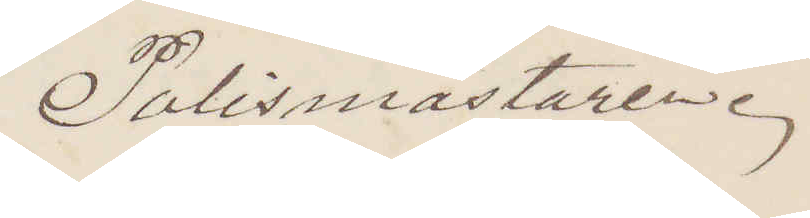Polismästaren.
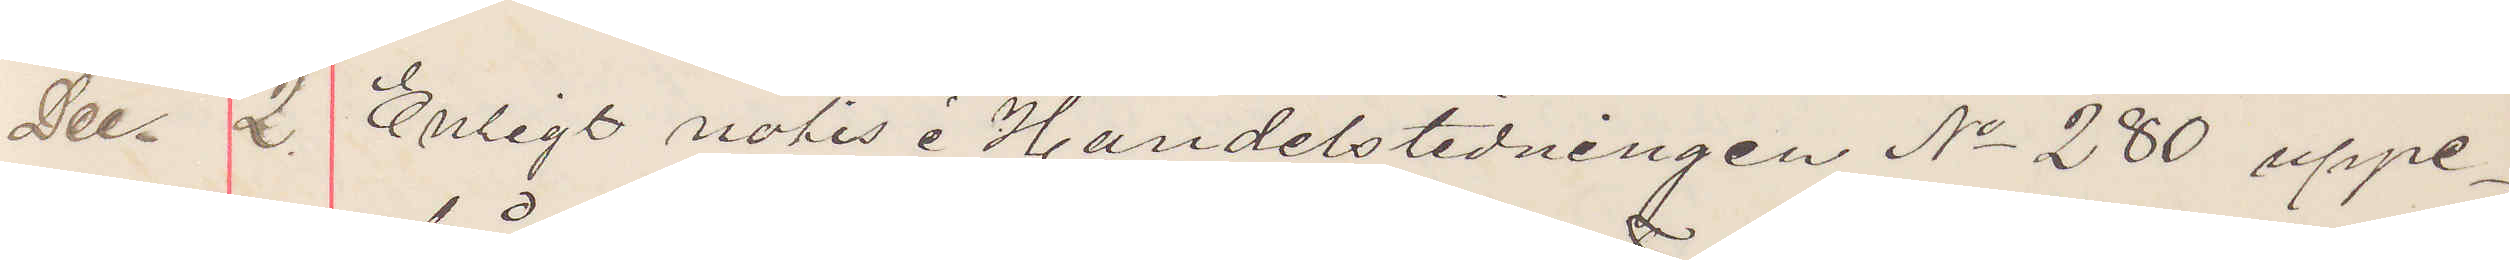Dec. 2. Enligt notis i Handelstidningen No 280 uppe¬
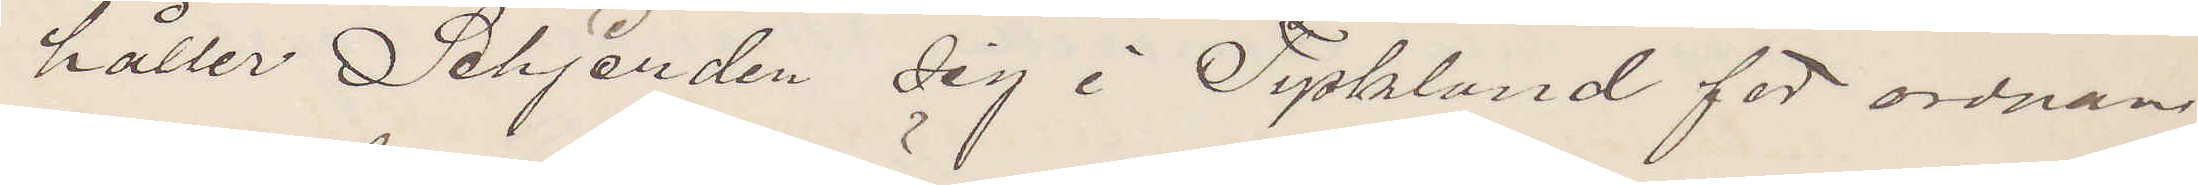håller Schjerden sig i Tyskland för ordnan¬
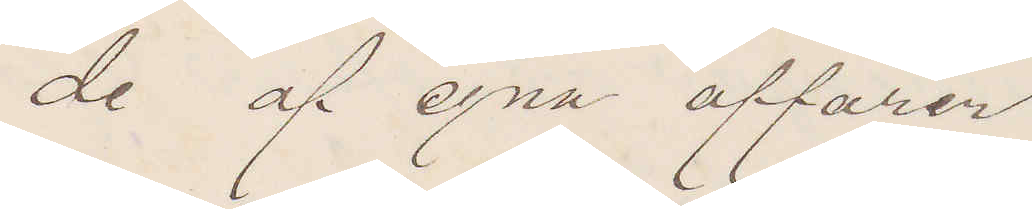de af egna affärer.
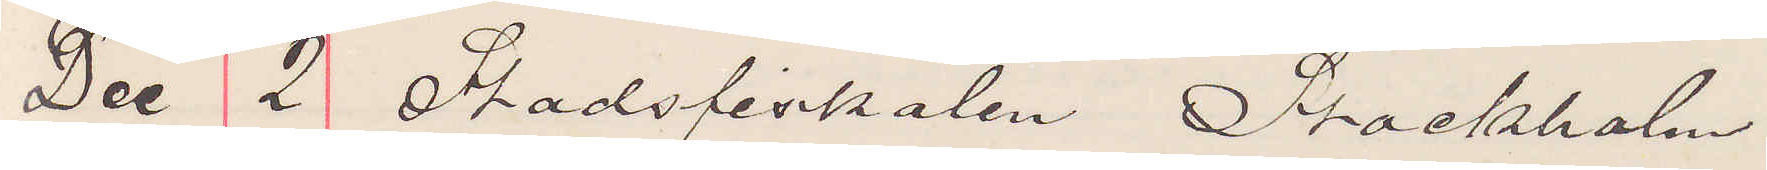Dec 2 Stadsfiskalen Stockholm
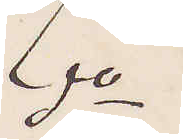do
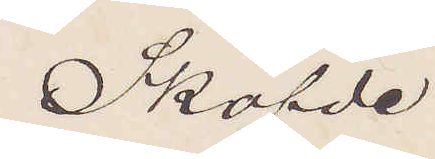Sköfde
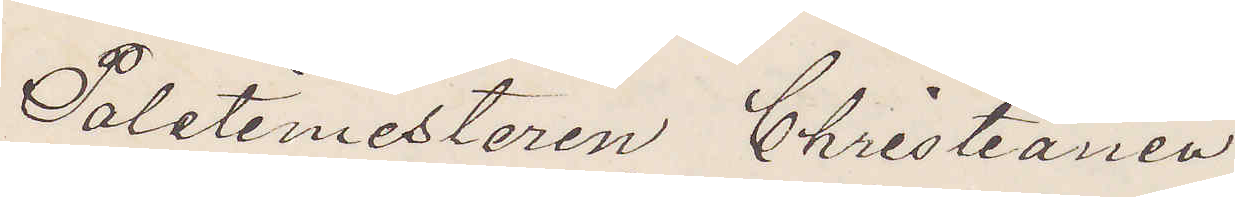Poletimesteren Christiania
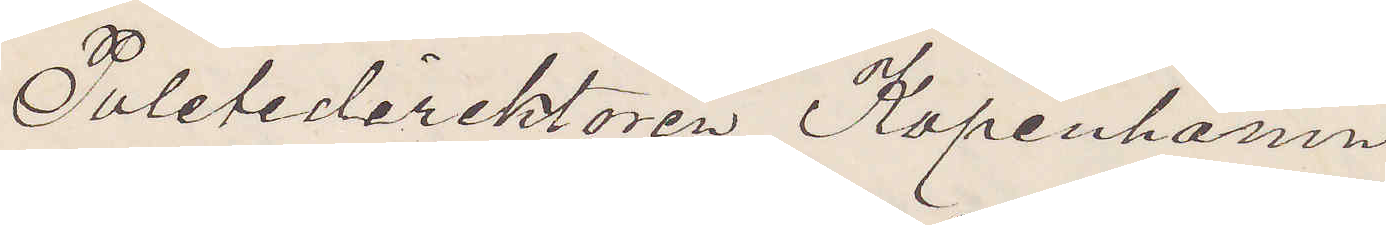Poletidirektören Kopenhamn
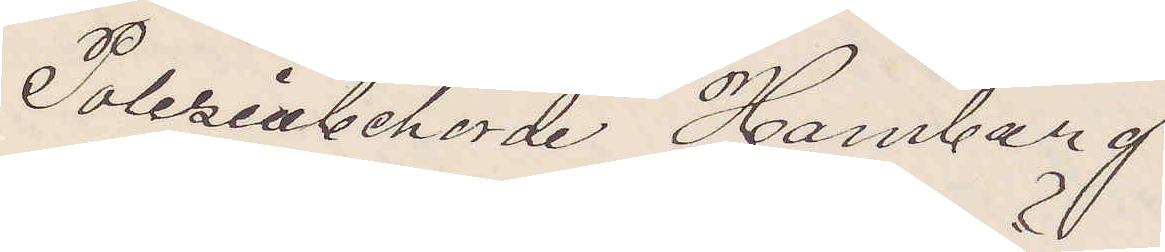Polesinbehörde Hamburg
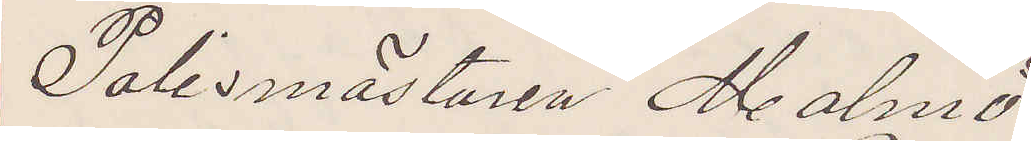Polismästaren Malmö
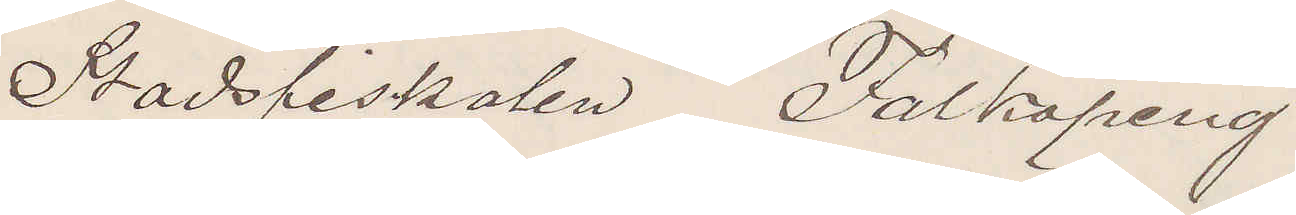Stadsfiskalen Falköping
